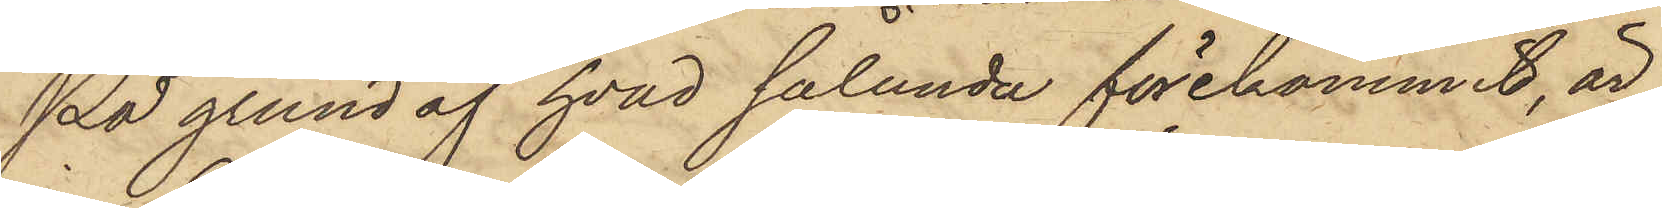På grund af hvad sålunda förekommit, är
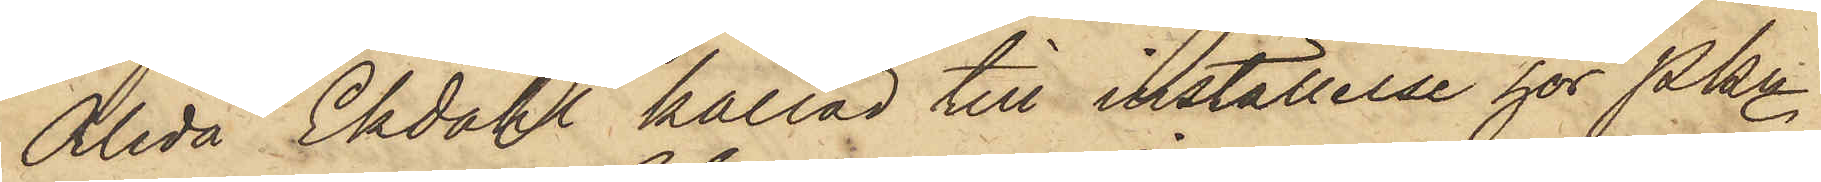Alida Ekdahl kallad till inställelse hos PKn
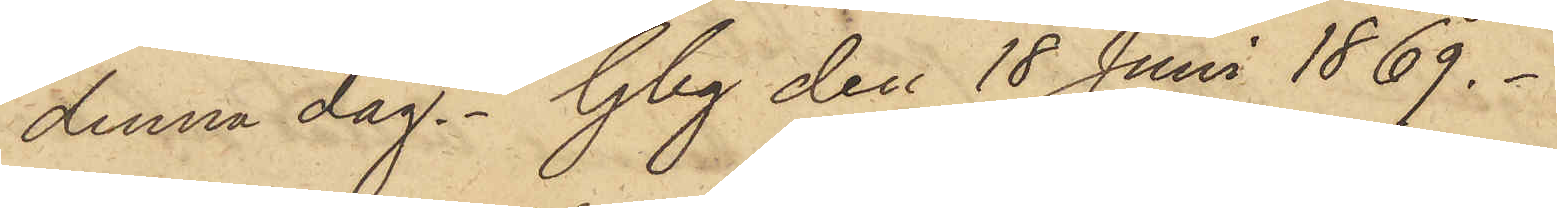denna dag. Gbg den 18 Juni 1869.
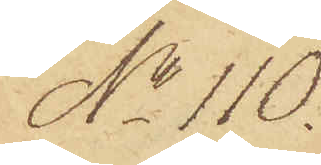No 110.
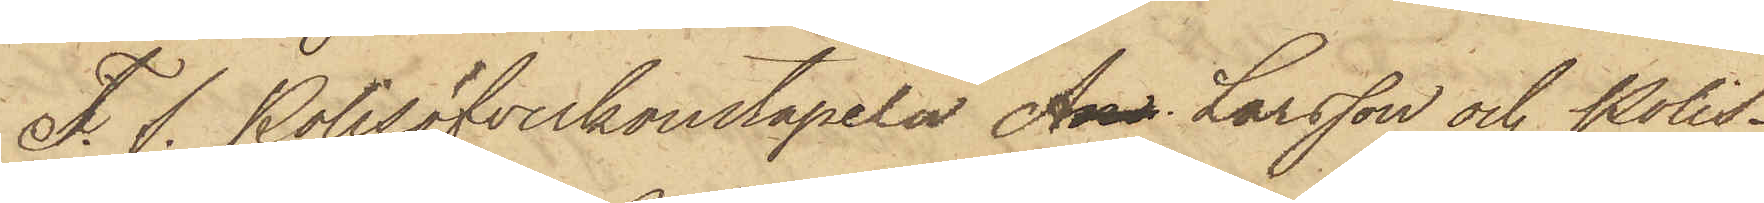T. f. Polisöfverkonstapeln And. Larsson och Polis¬
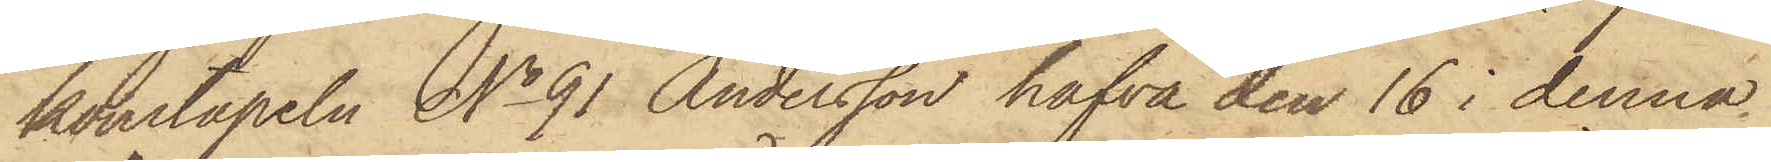konstapeln No 91 Andersson hafva den 16 i denna
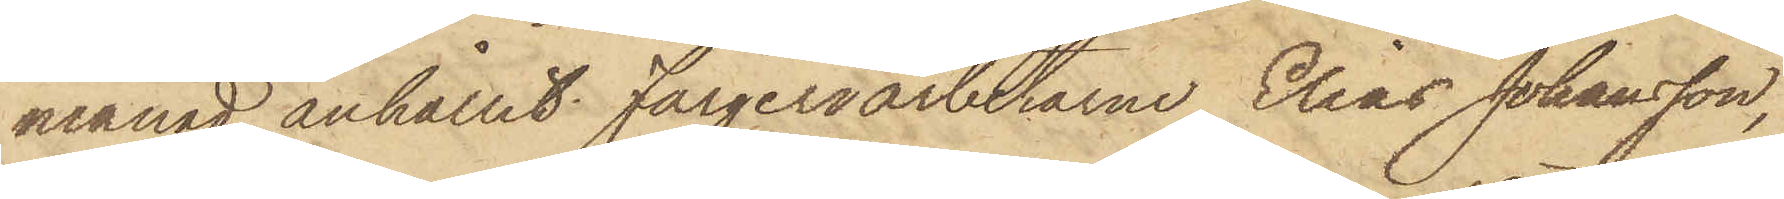månad anhållit Färgeriarbetarne Elias Johansson,
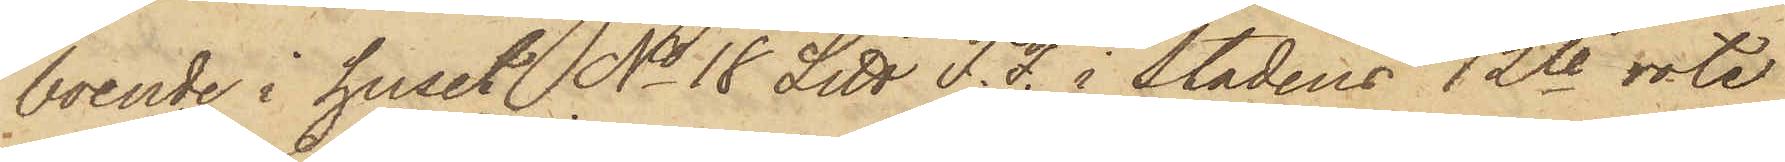boende i huset No 18 Litt F. F. i stadens 12te rote
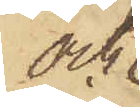och
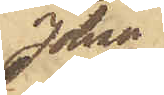Johan
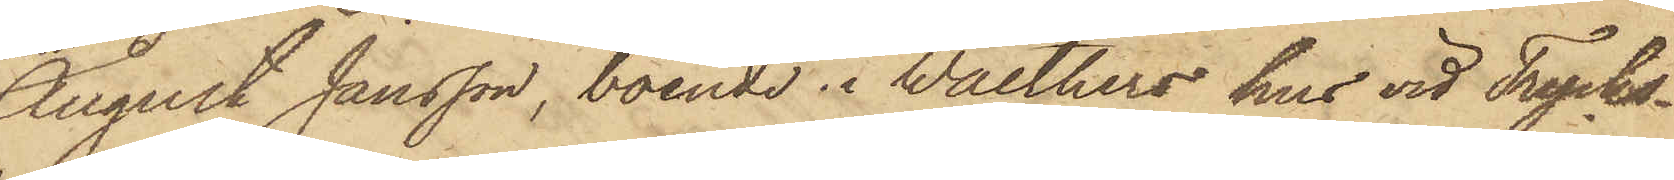August Jansson, boende i Walthers hus vid Trycks¬
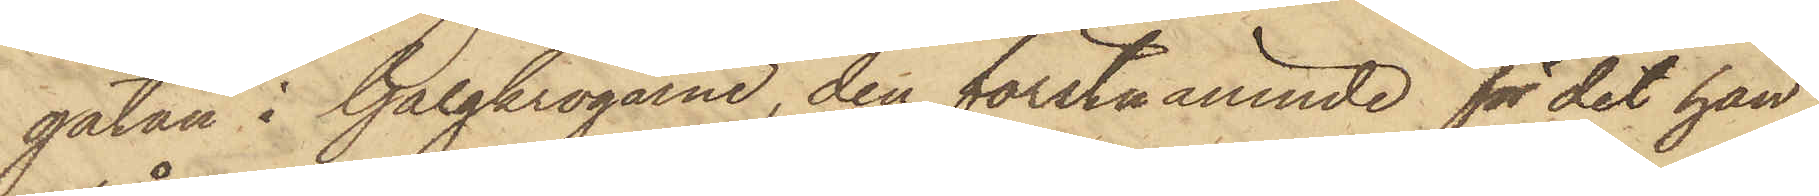gatan i Galgkrogarne, den förstnämnde för det han
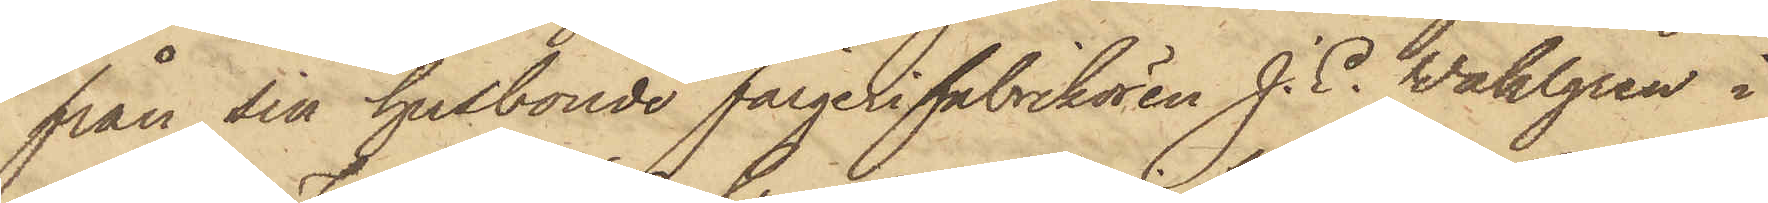från sin husbonde Färgerifabrikören J. E. Wahlgren i
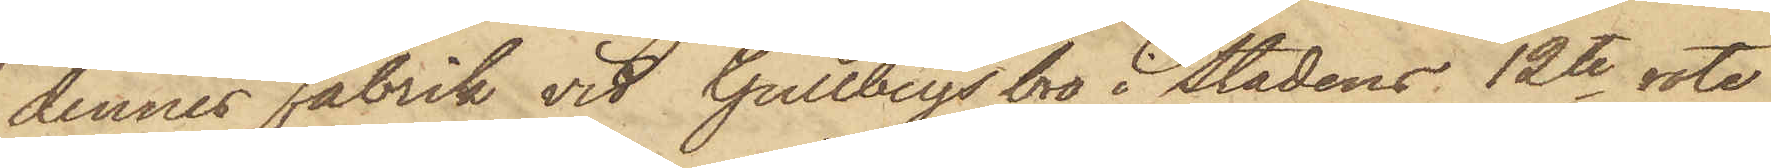dennes Fabrik vid Gullbergs bro i stadens 12te rote
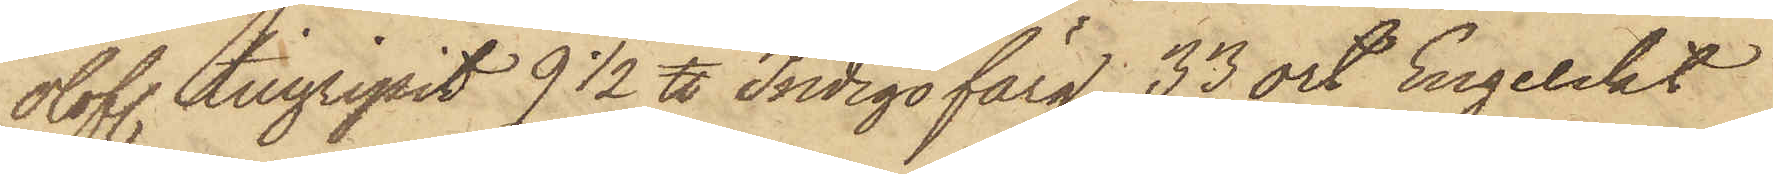olofl. tillgripit 9 1/2 ℔ Indigofärg, 33 ort Engelskt
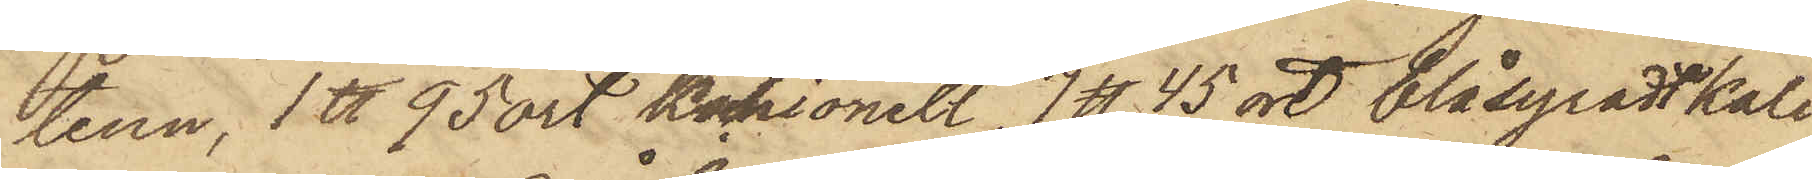tenn, 1 ℔ 95 ort Kochionell, 7 ℔ 45 ort blåsyradt kali
